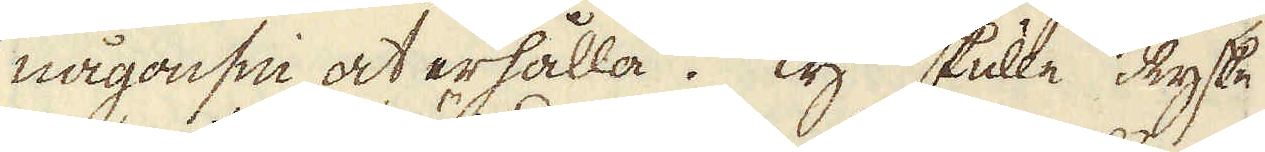någonsin at erhålla. Ty skulle Ryske
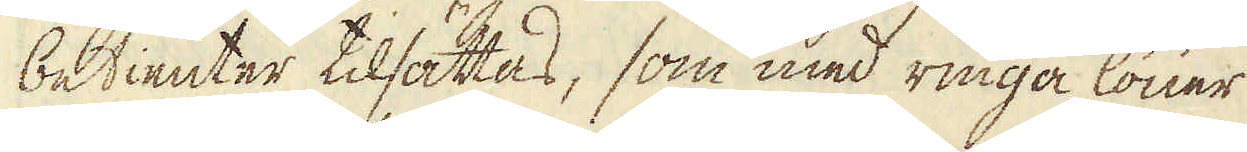betienter tilsättas, som med ringa löner
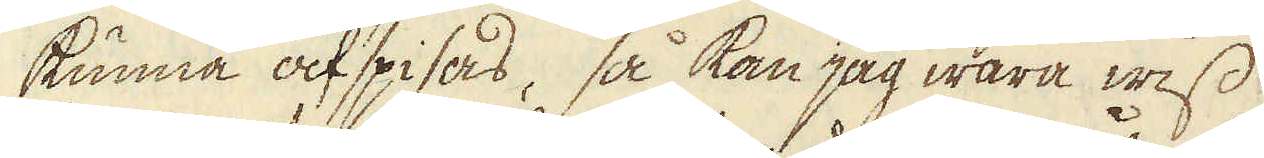kunna afspisas, så kan jag wara wiss
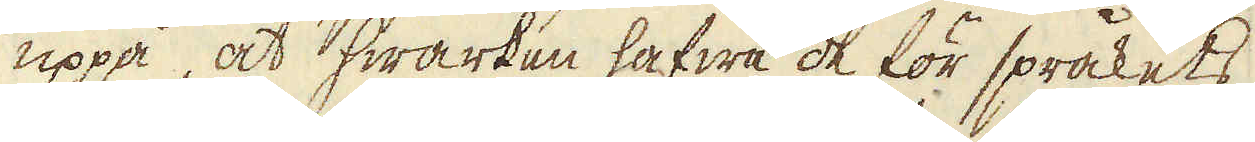uppå, at hwarken hafwa de för språkets
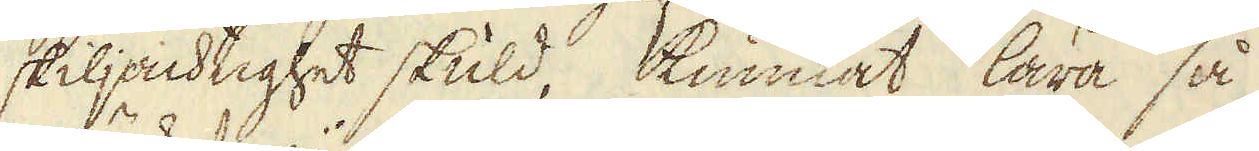skiljachtighet skuld, kunnat lära så
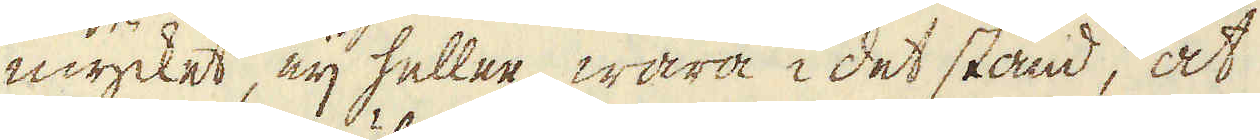mycket, eij heller wara i det stånd, at
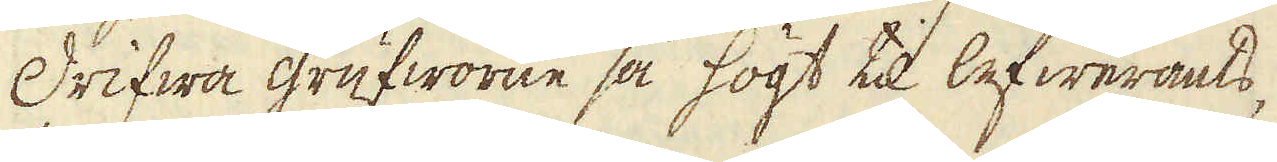drifwa grufworne så högt til lefwerants,
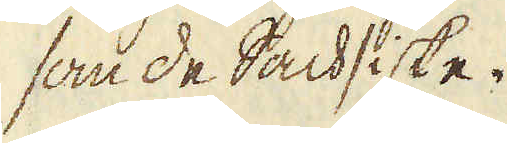som de Sachsiske.
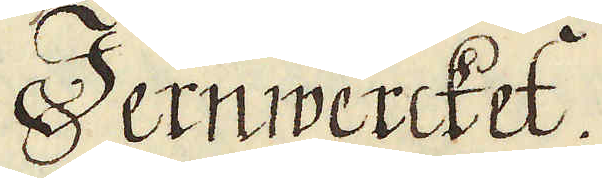Jernwercket.
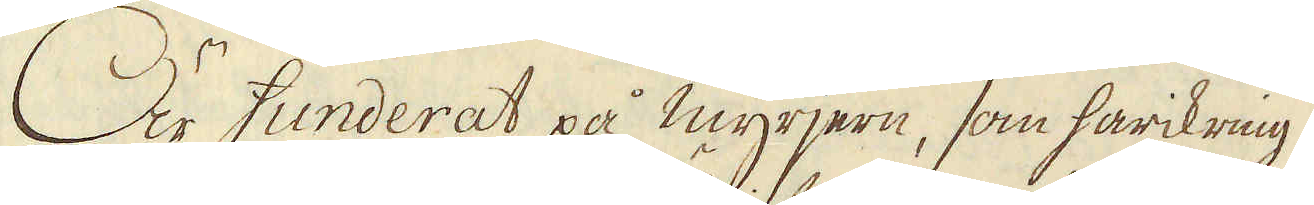Är funderat på myrjern, som härikring
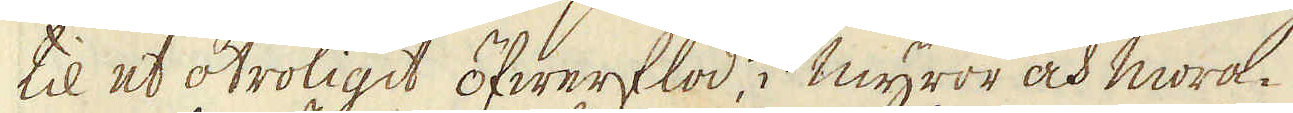til et otroligit öfwerflöd, i myror och mora-
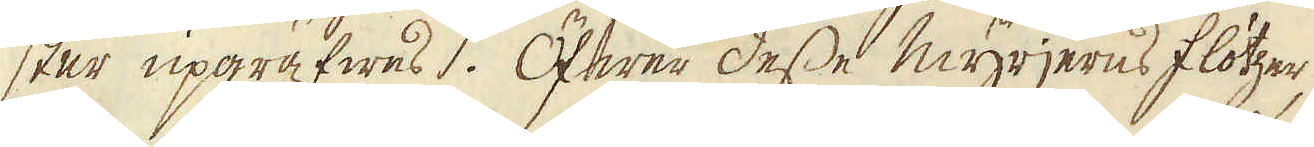ster upgräfwes. Öfwer desse myrjerns flötzer
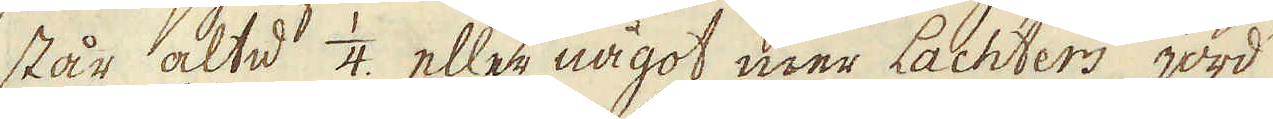står altid 1/4. eller något mer Lachters jord
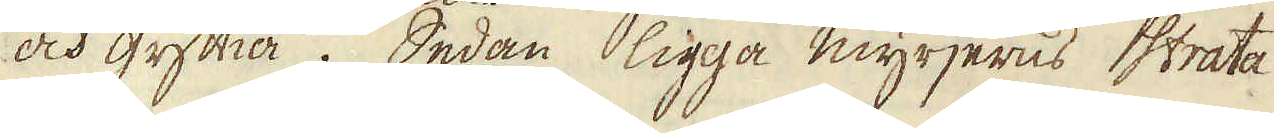och gyttia. Sedan ligga myrjerns strata
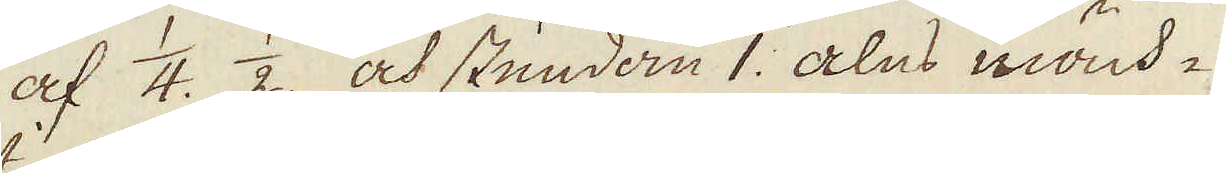af 1/4. 1/2. och stundom 1. alns mäch-
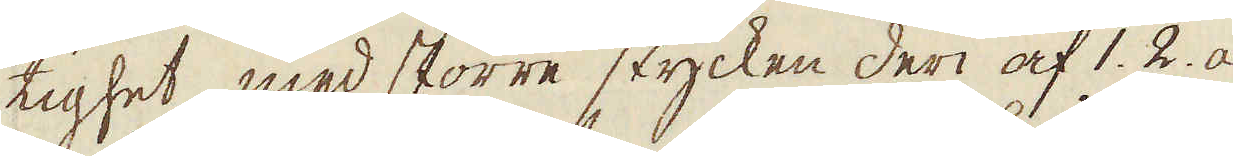tighet, med större stycken deri af 1. 2. a
